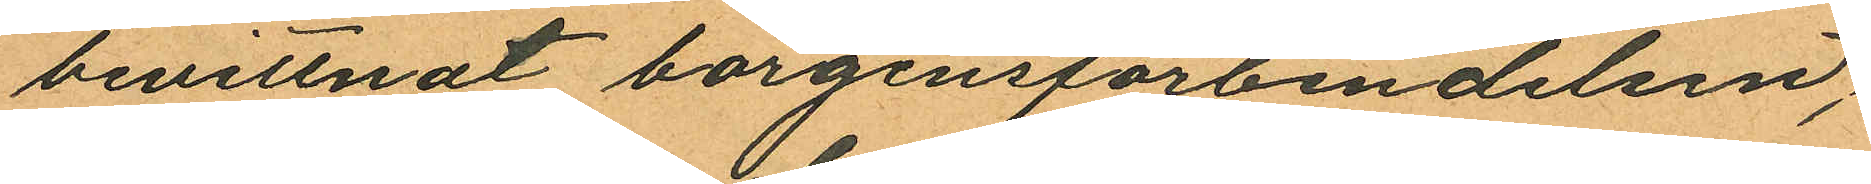bevittnat borgensförbindelsen;
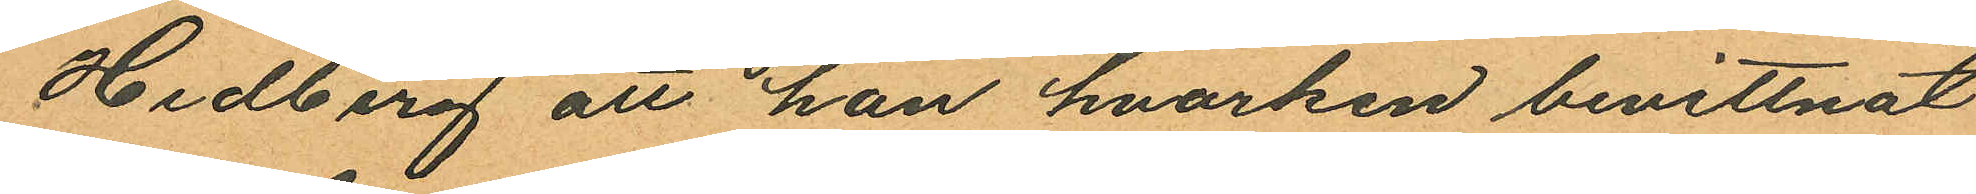Hedberg att han hvarken bevittnat
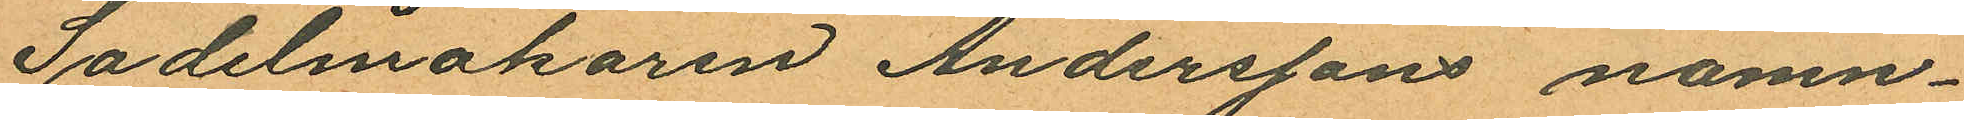Sadelmakaren Anderssons namn¬
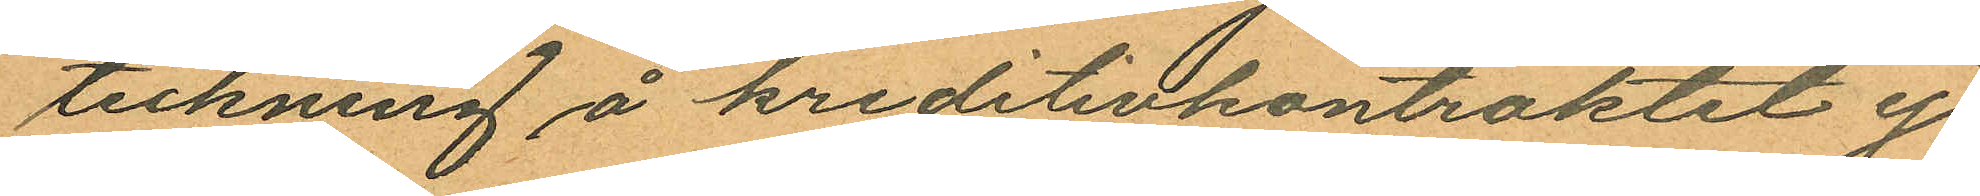teckning å kreditivkontraktet ej
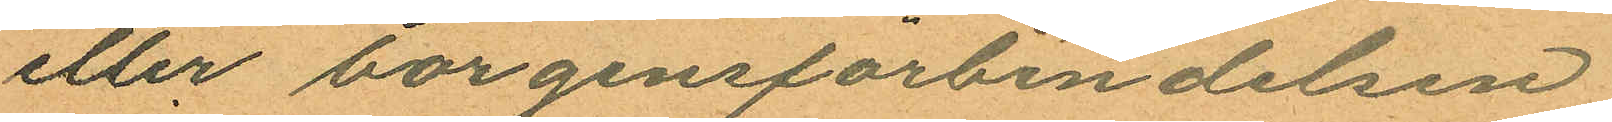eller borgensförbindelsen;
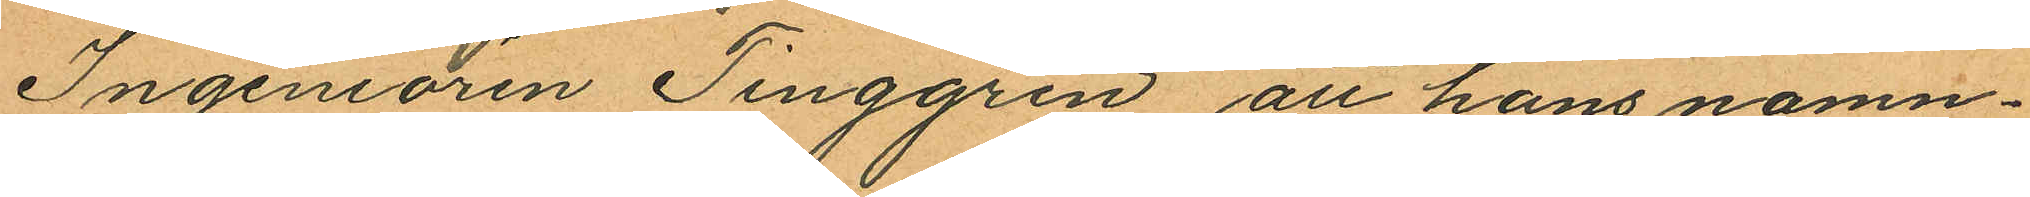Ingeniören Tenggren att hans namn¬
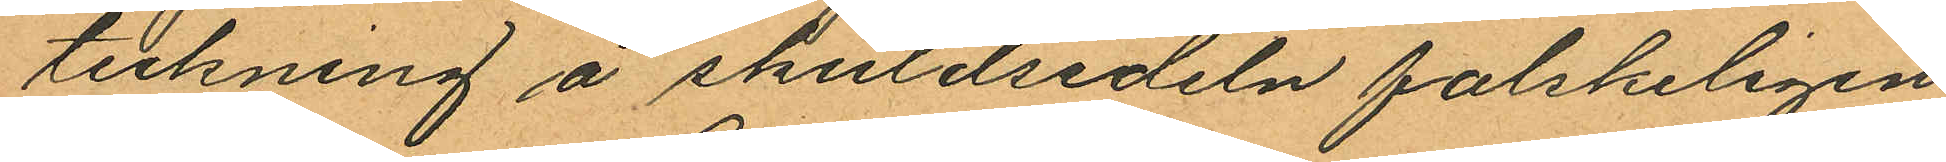teckning å skuldsedeln falskeligen
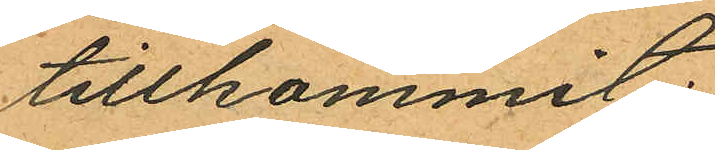tillkommit;
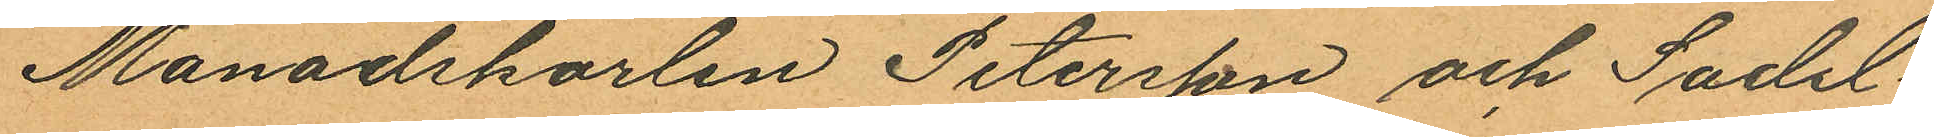Månadskarlen Petersson och Sadel¬
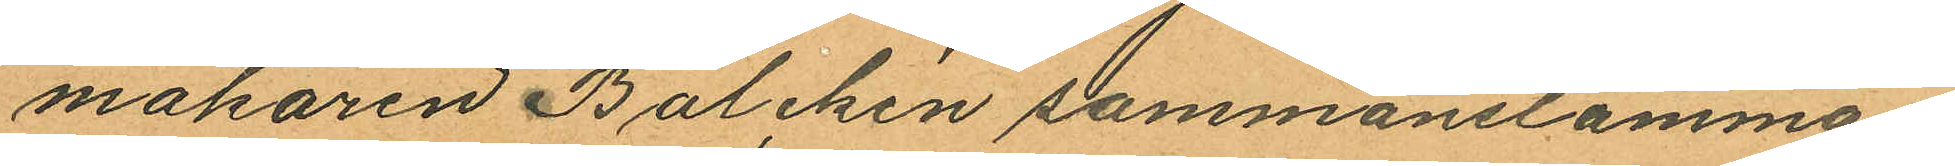makaren Balchén sammanstämman
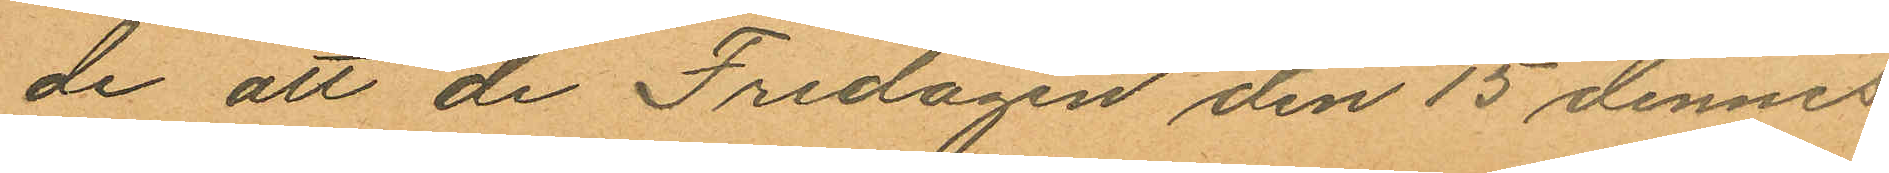de att de Fredagen den 15 dennes
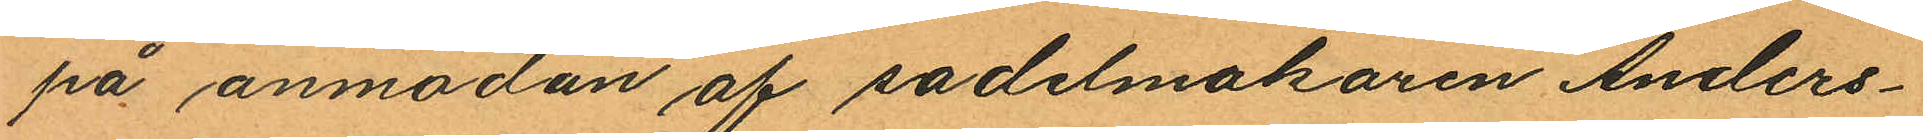på anmodan af sadelmakaren Anders¬
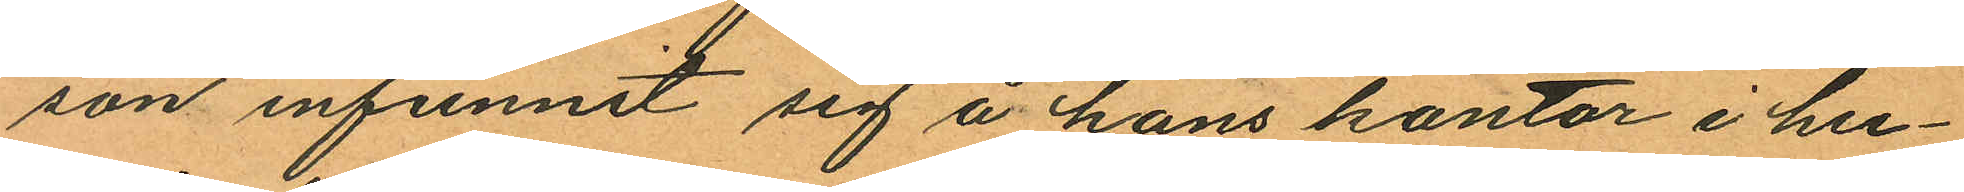son infunnit sig å hans kontor i hu¬
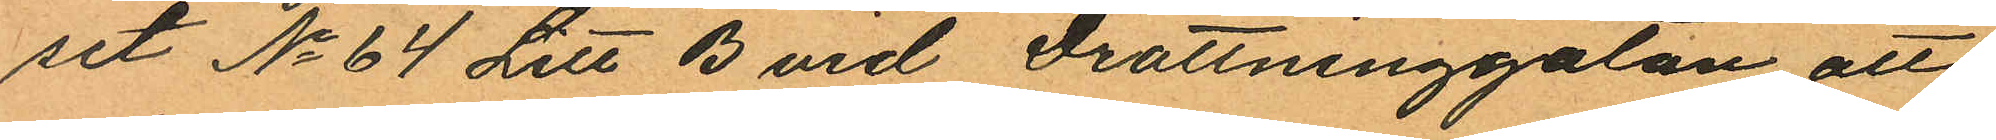set No 64 Litt B vid Drottninggatan att
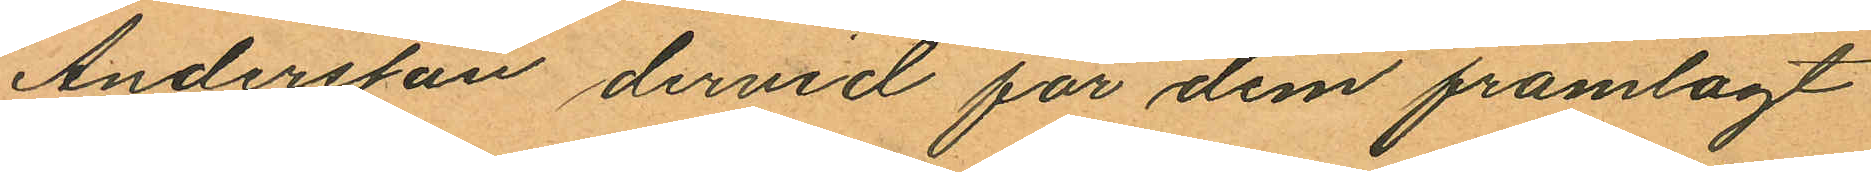Andersson dervid för dem framlagt
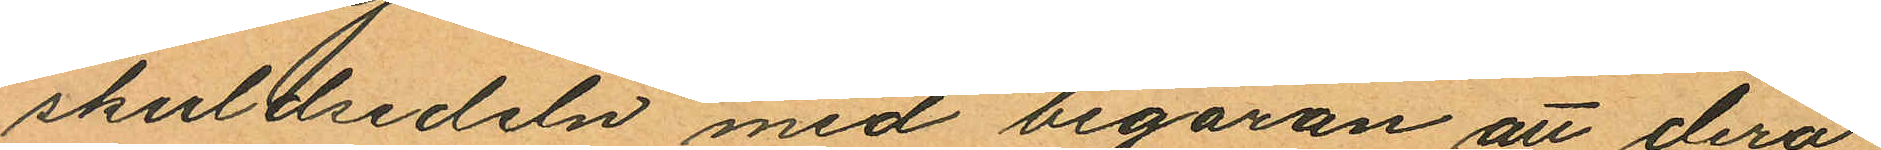skuldsedeln med begäran att derå
